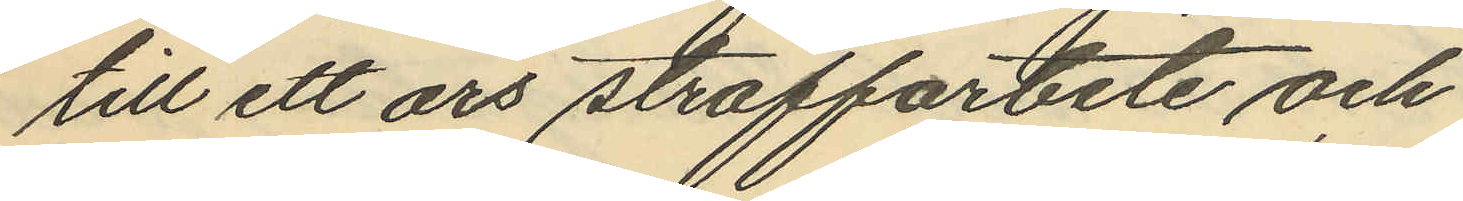till ett års straffarbete och
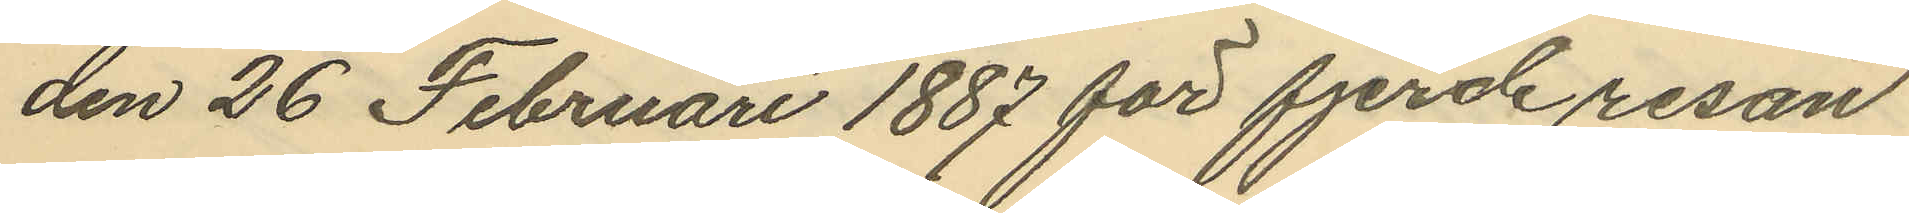den 26 Februari 1887 för fjerde resan
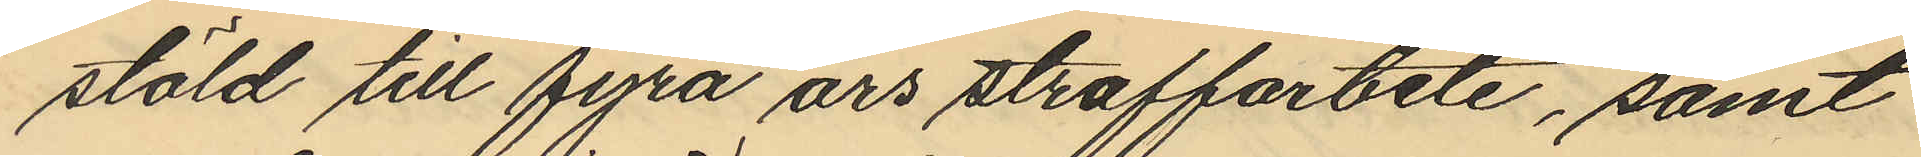stöld till fyra års straffarbete, samt
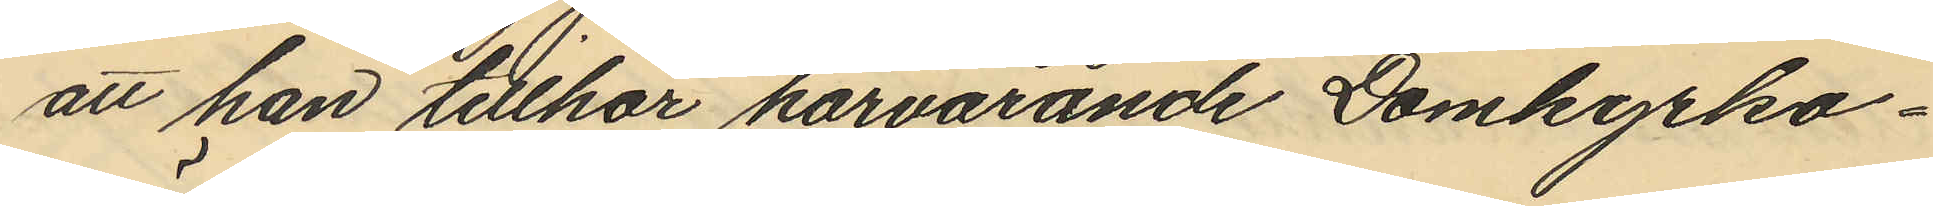att han tillhör härvarande Domkyrko¬
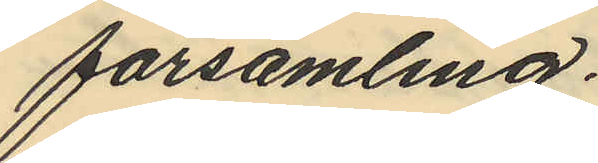församling.
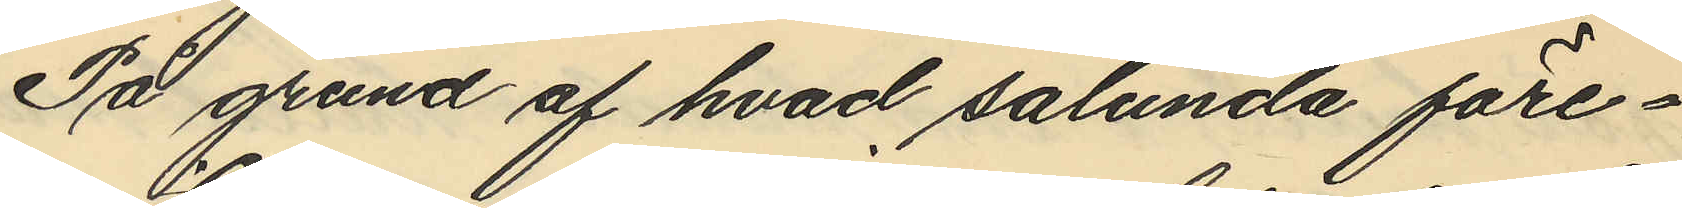På grund af hvad sålunda före¬
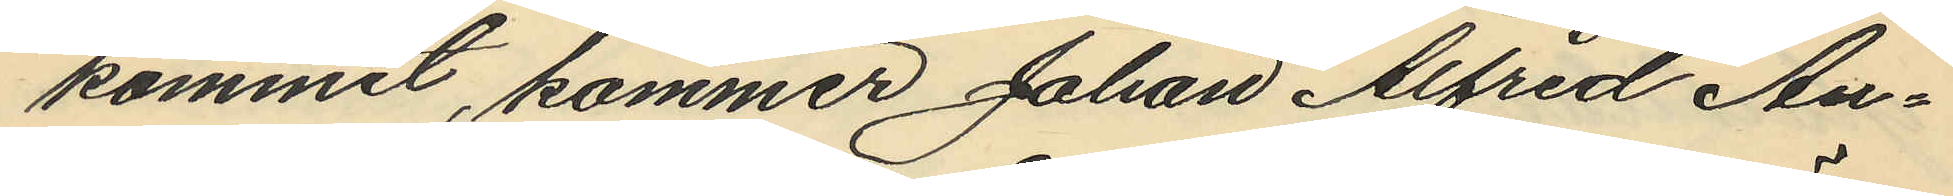kommit, kommer Johan Alfred An¬
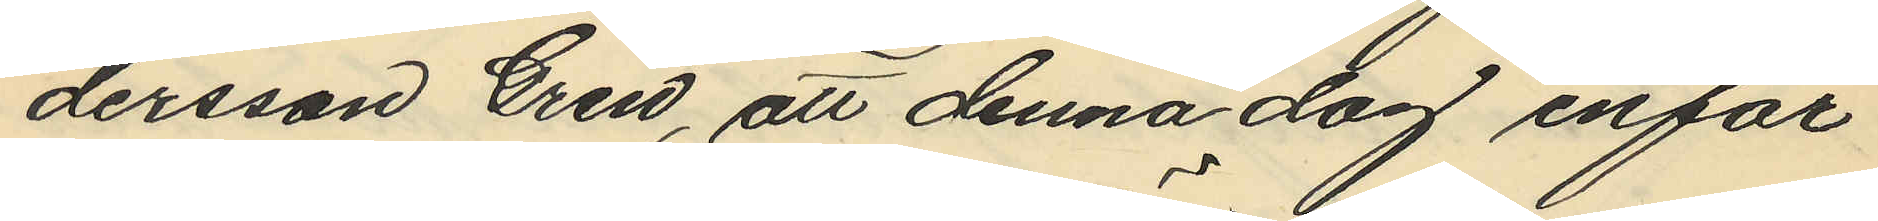dersson Gren, att denna dag inför
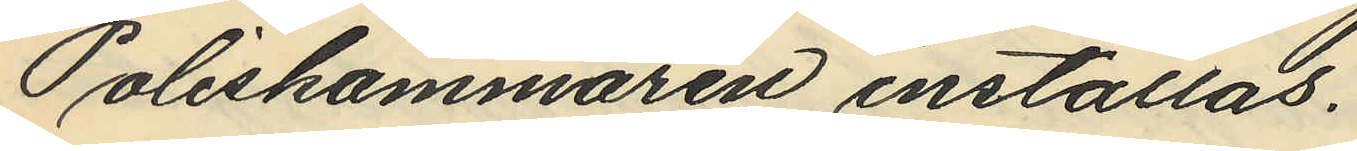Poliskammaren inställas.
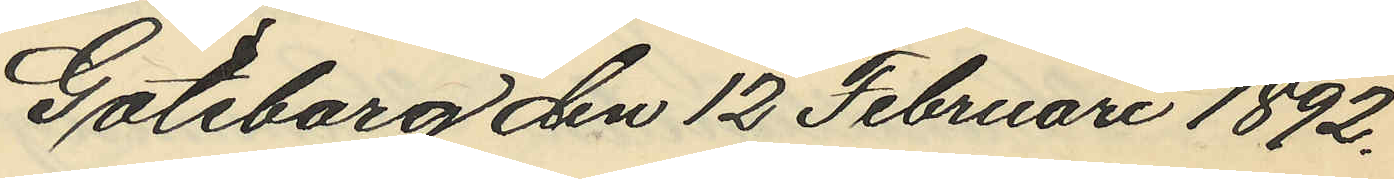Göteborg den 12 Februari 1892.
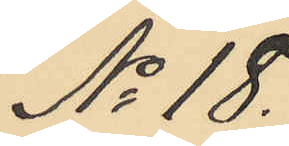No 18.
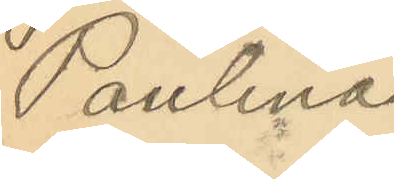Paulina
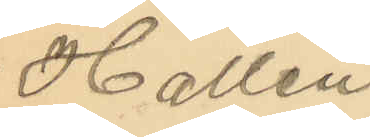Hallén.
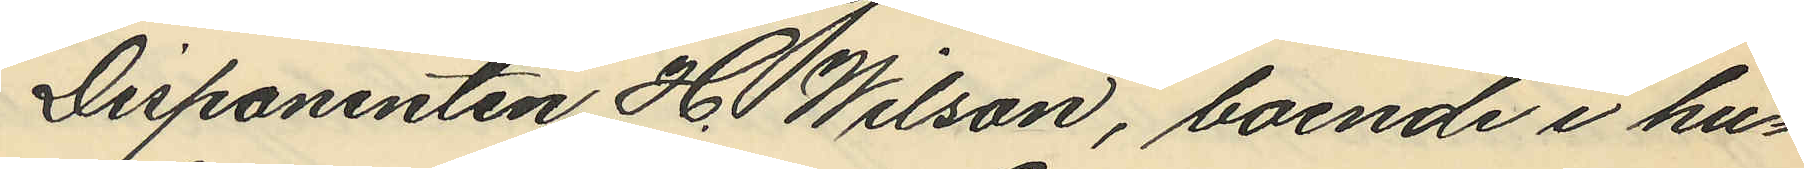Disponenten H. Wilson, boende i hu¬
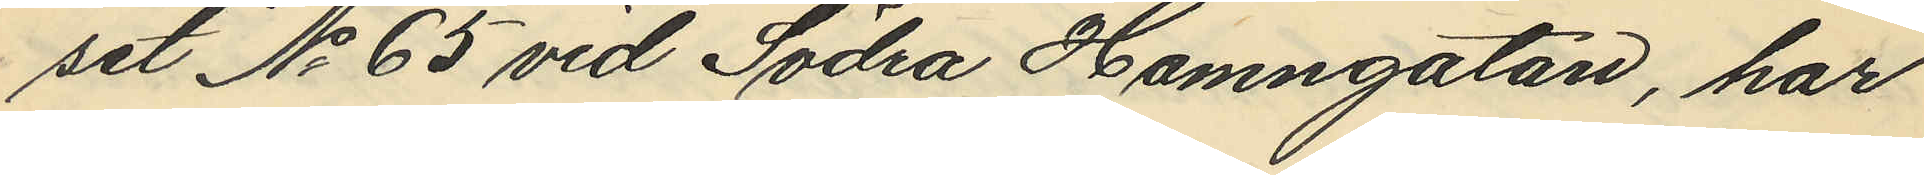set No 65 vid Södra Hamngatan, har
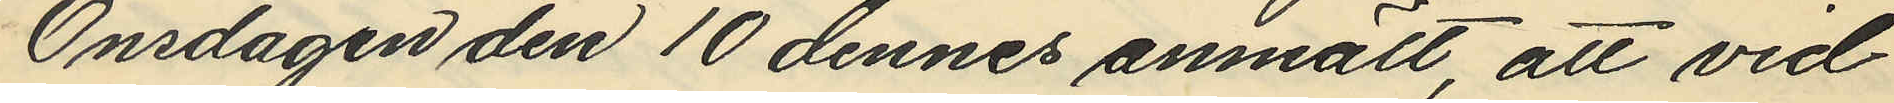Onsdagen den 10 dennes anmält, att vid
